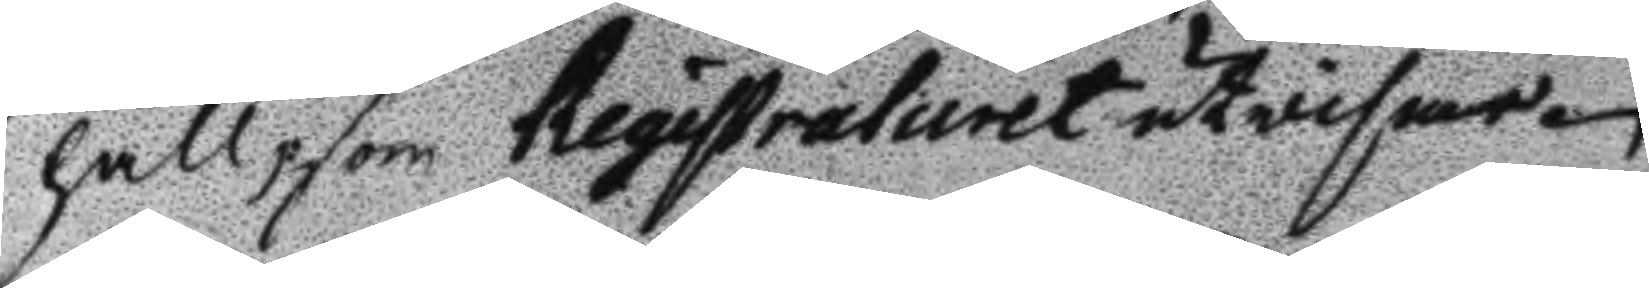håll, som Registraturet utvisar.
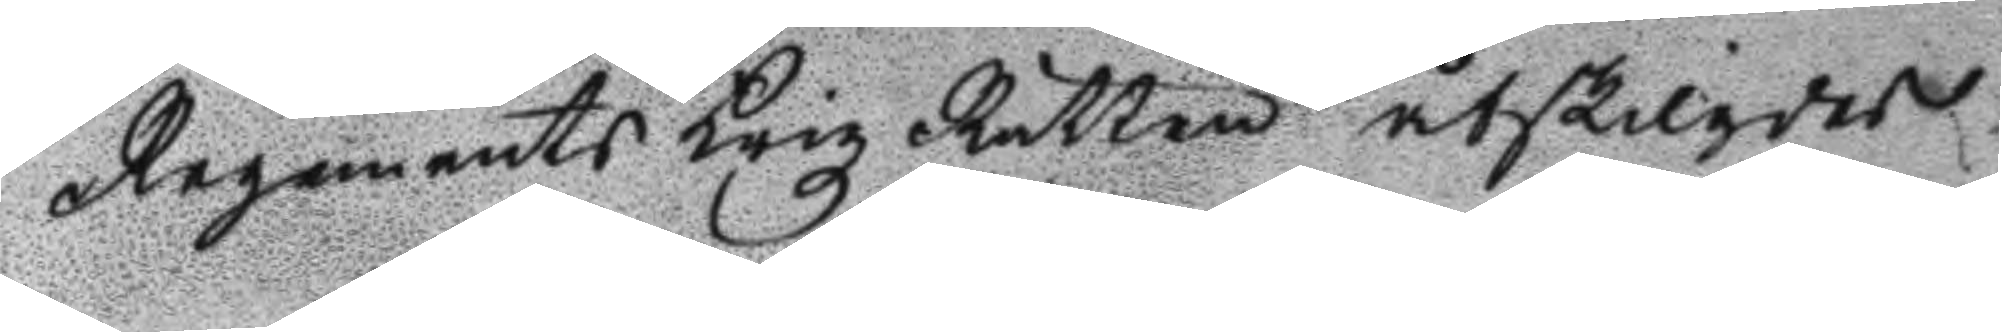Regements Krigz Rätten åtskilgdes.
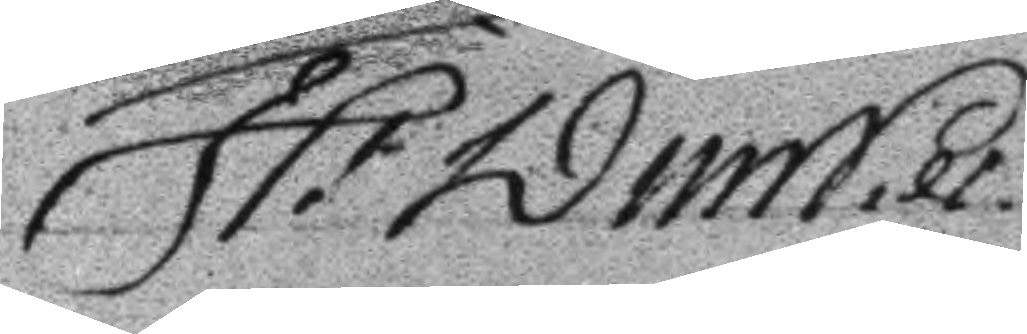H: WimNils
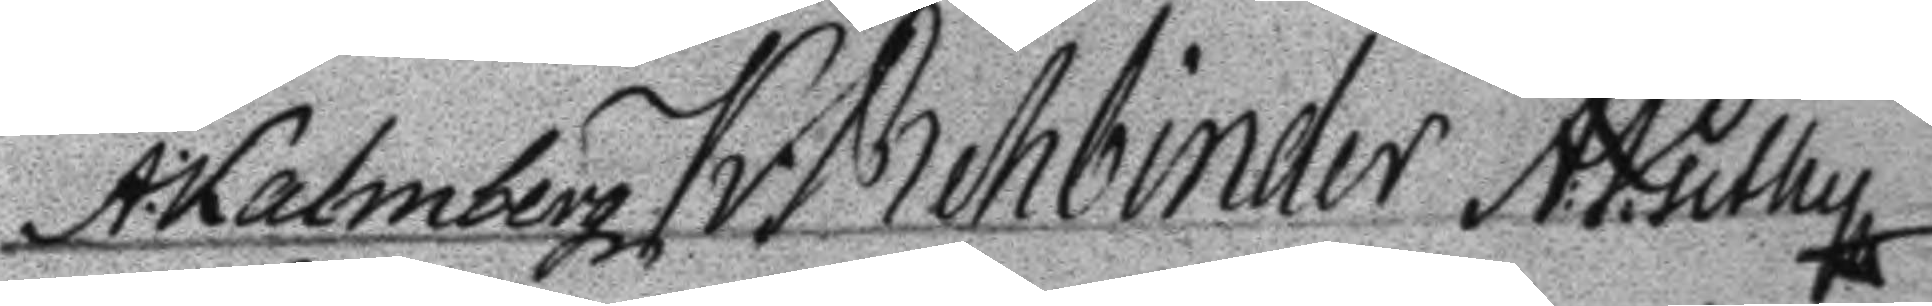A: Kalmberg K: Rehbinder A:P:uthy
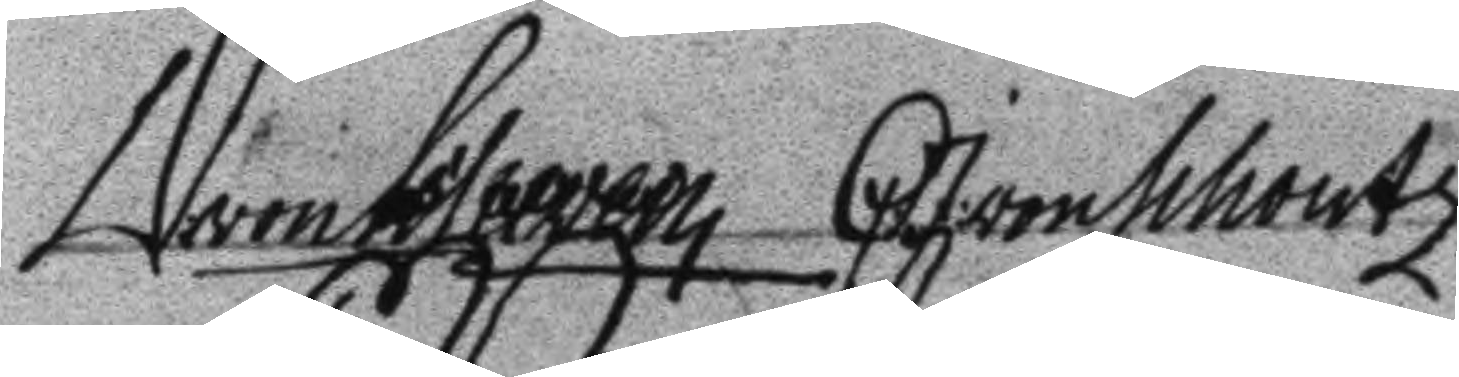W.von Loteeveen C.J.von Wioutz
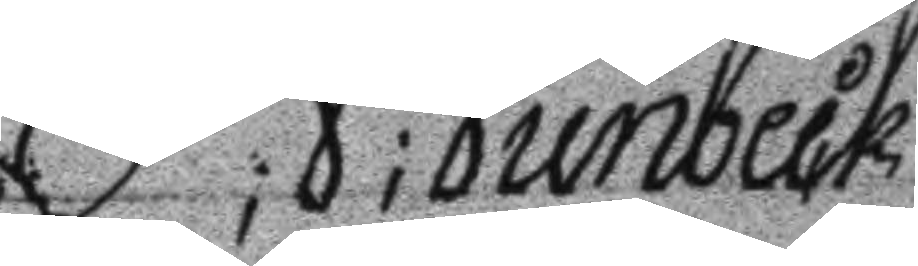P;J;Junbeck
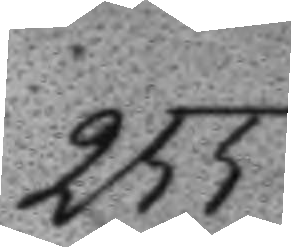255.
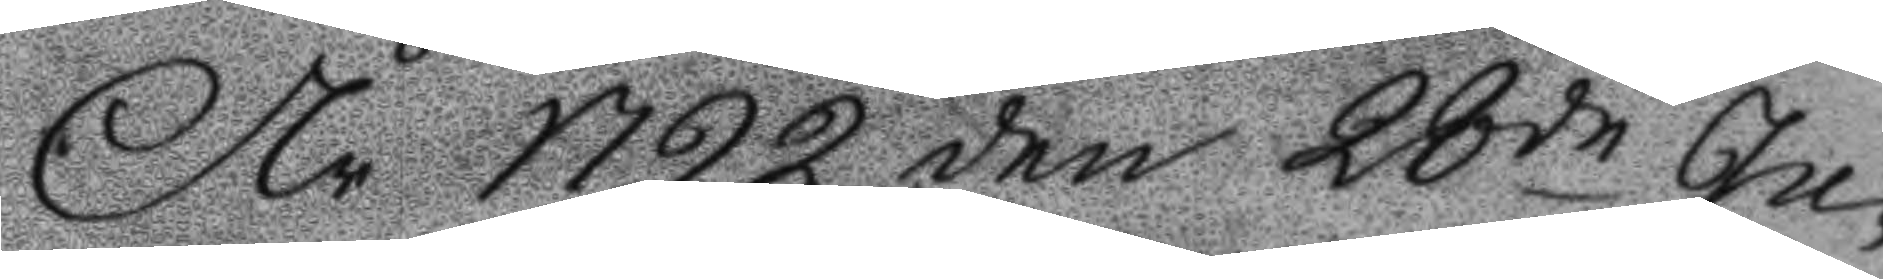År 1792 den 28de Ju¬
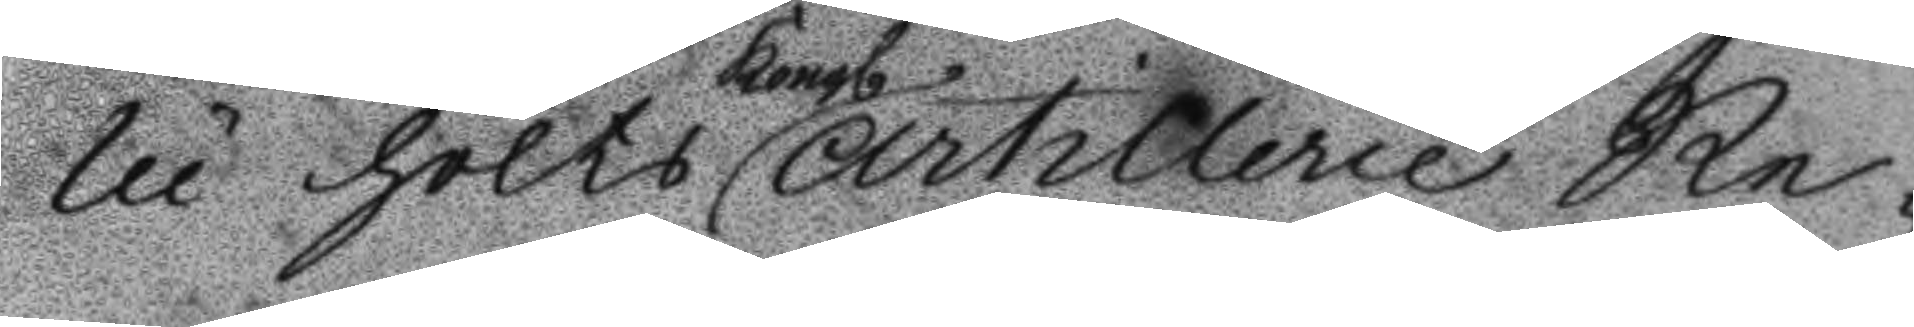lii höllts Kongl. Artillerie Re¬
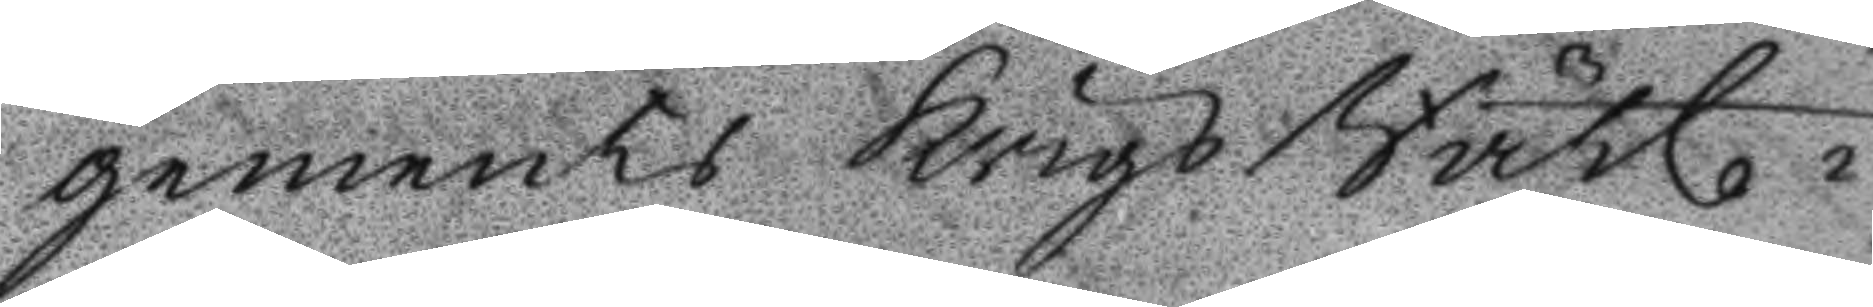gements KrigsRätt i
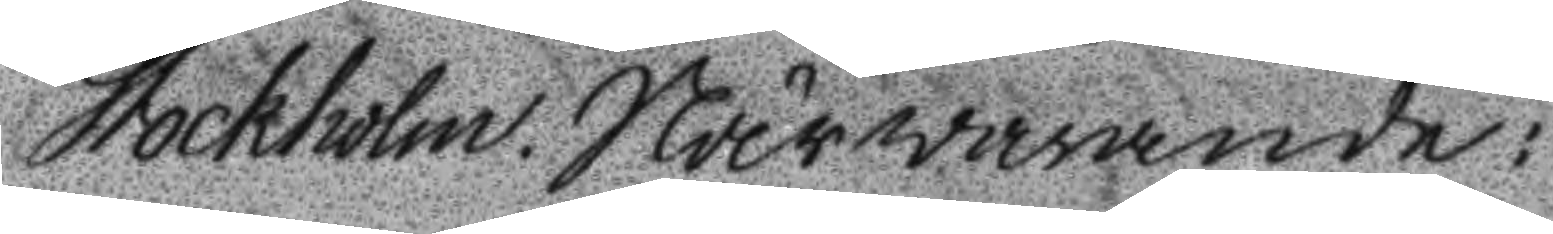Stockholm. Närwarande:
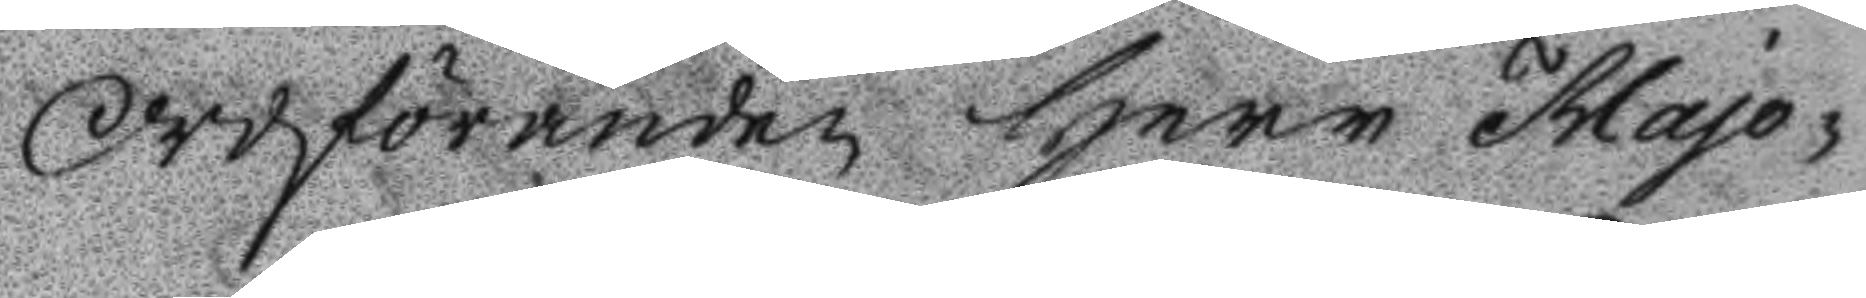Ordföranden Herr Majo¬
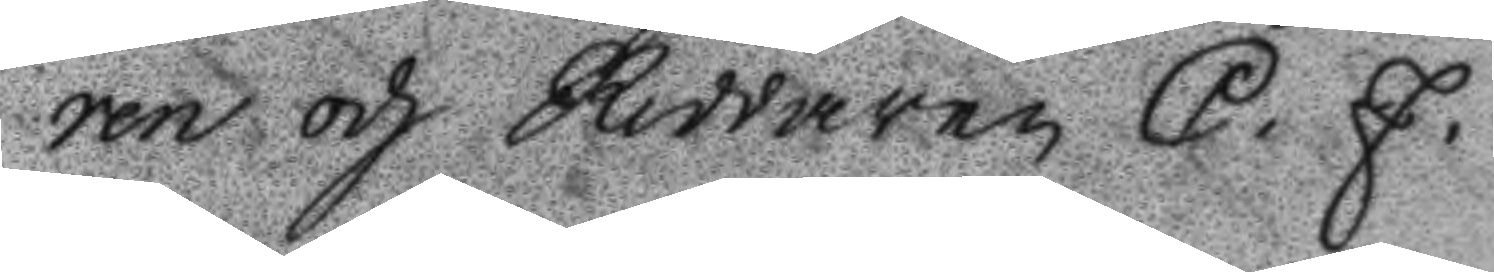ren och Riddaren C. J.
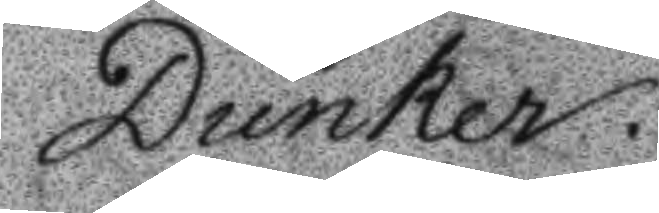Dunker.
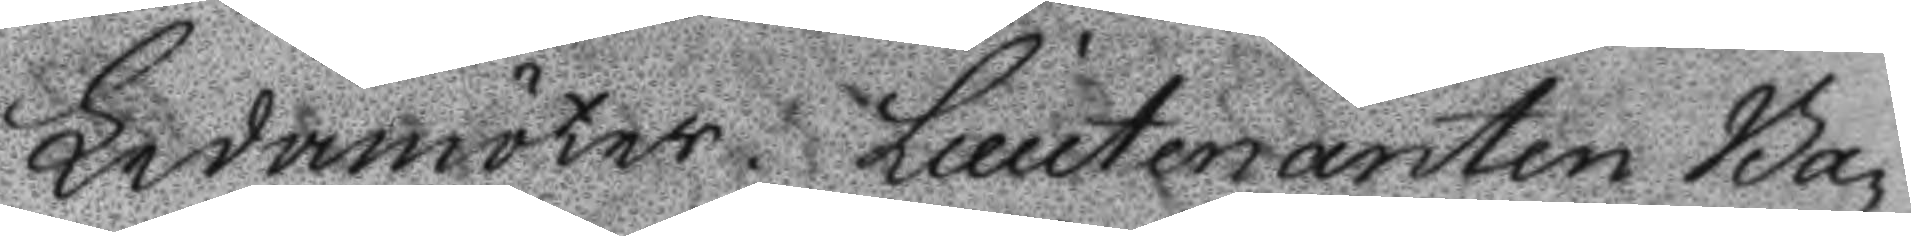Ledamöter. Lieutenanten Ba¬
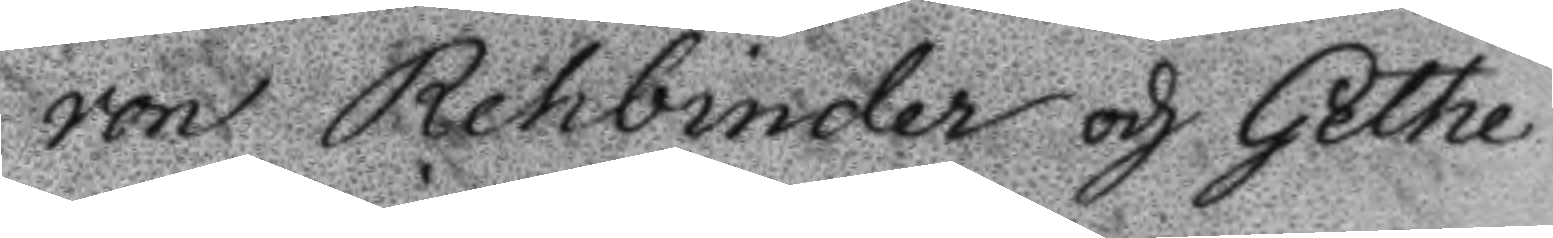ron Rehbinder och Gethe
